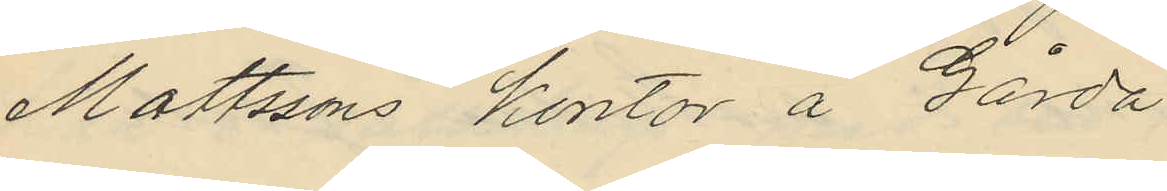Mattssons kontor å Gårda
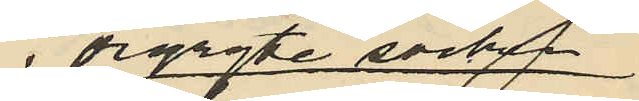i Örgryte socken
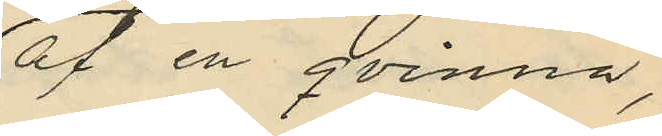af en qvinna,
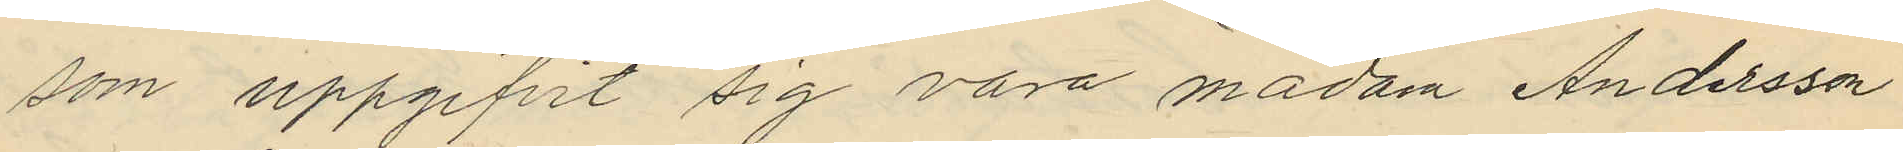som uppgifvit sig vara modern Andersson
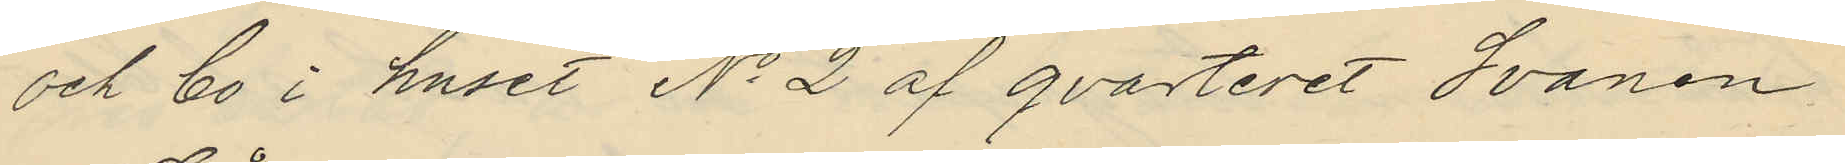och bo i huset No 2 af qvarteret Svanen
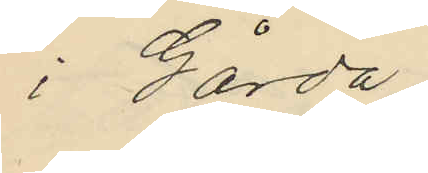i Gårda.
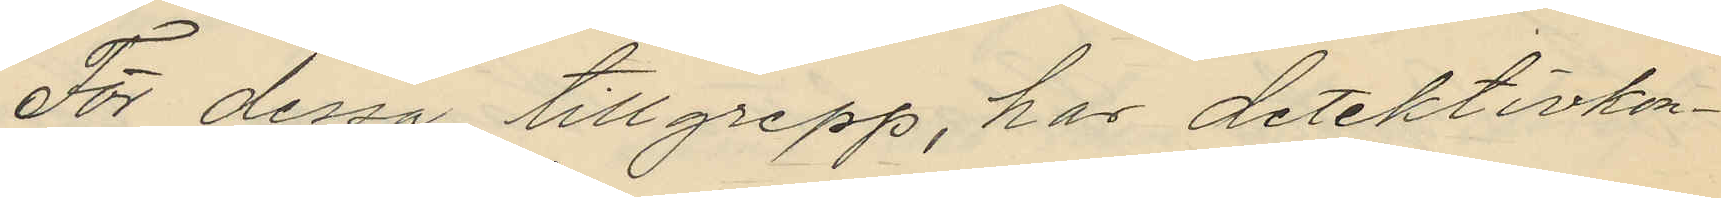För dessa tillgrepp, har detektivkon¬
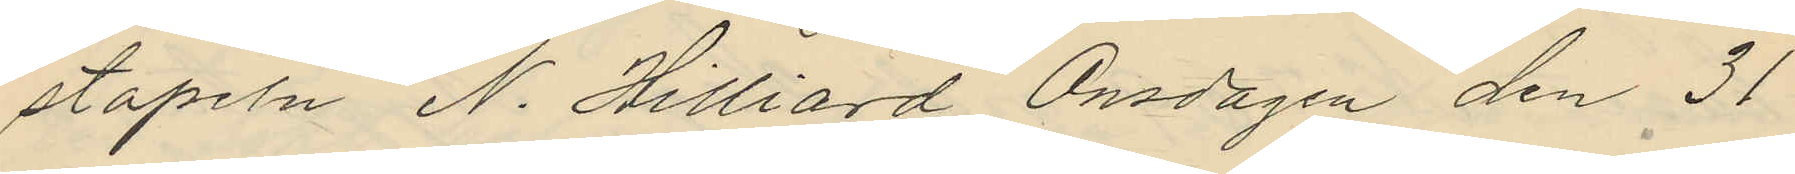stapeln N. Hilliard Onsdagen den 31
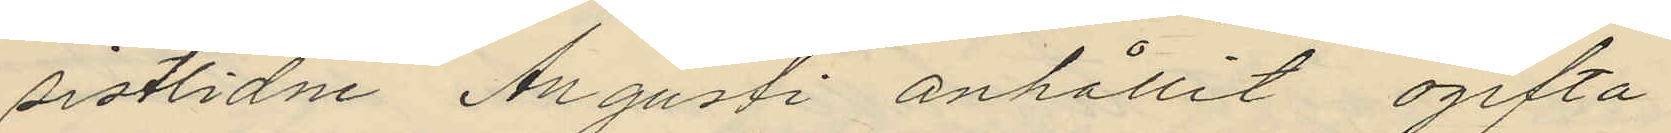sistlidne Augusti anhållit ogifta
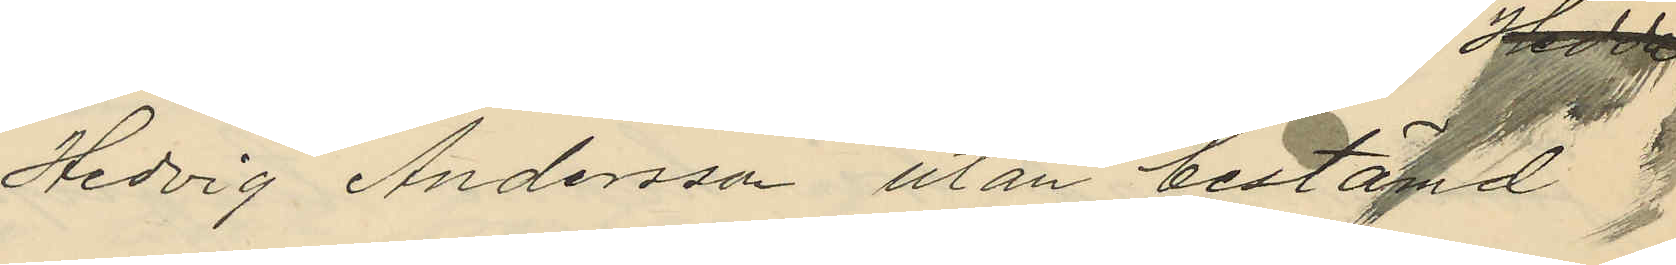Hedvig Andersson utan bestämd
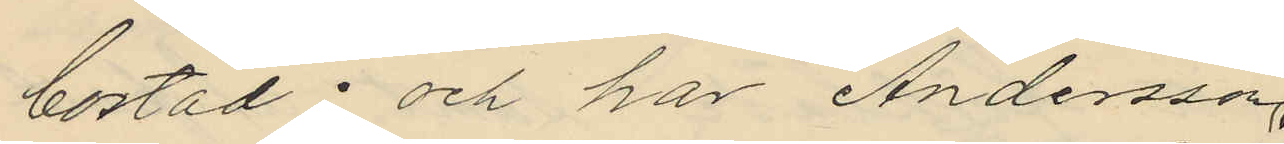bostad; och har Andersson
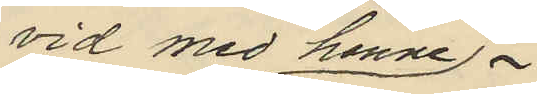vid med henne
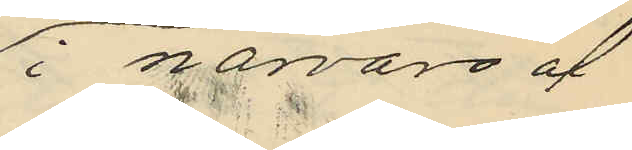i närvaro af
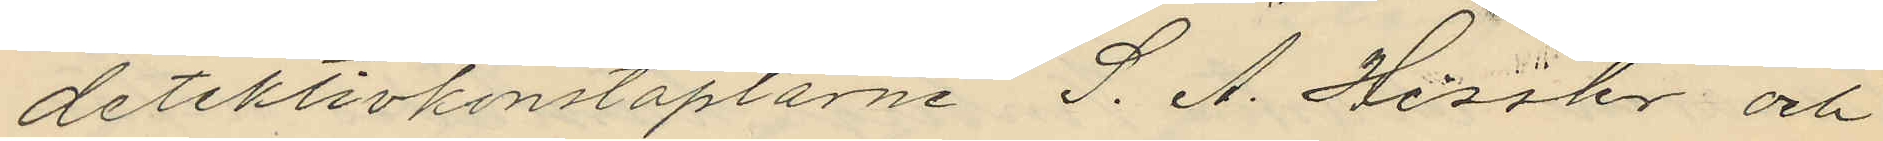detektivkonstaplarne S. A. Hessler och
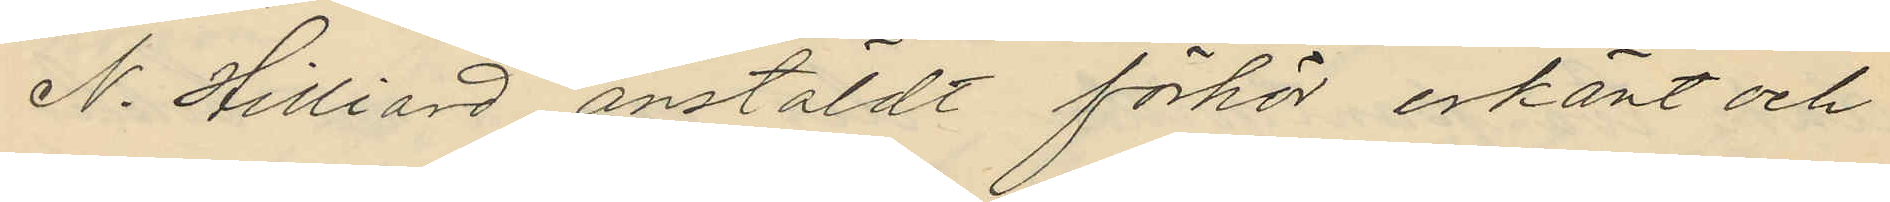N. Hilliard anstäldt förhör erkänt och
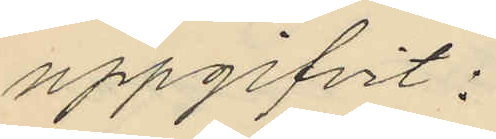uppgifvit:
